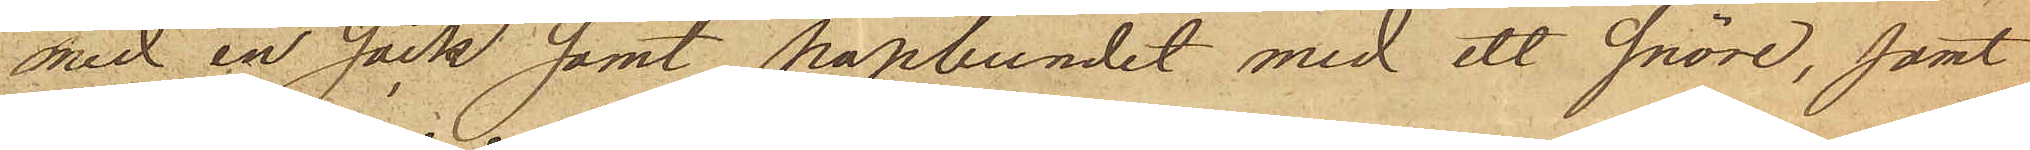med en säck samt hopbundet med ett snöre, samt
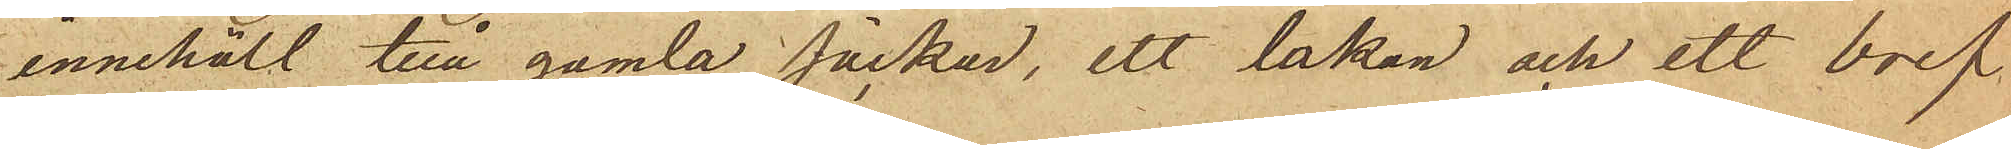innehöll två gamla säckar, ett lakan och ett bref
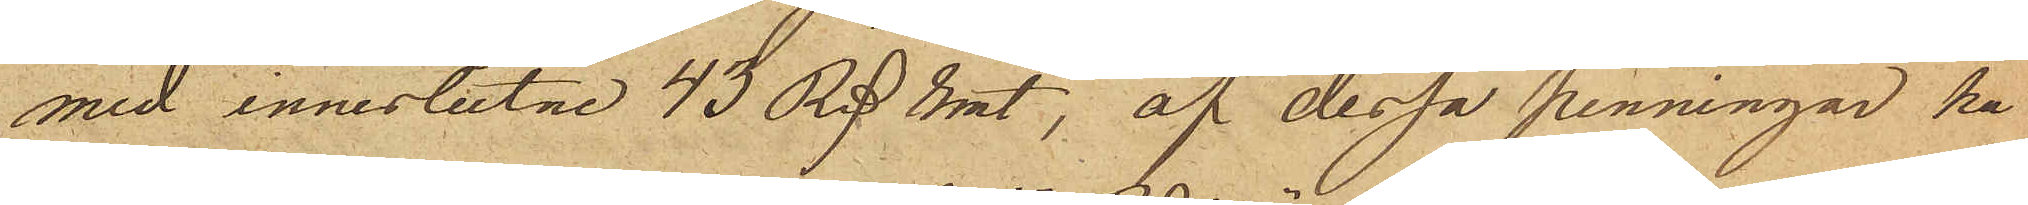med inneslutne 43 Rd rmt, af dessa penningar ha¬
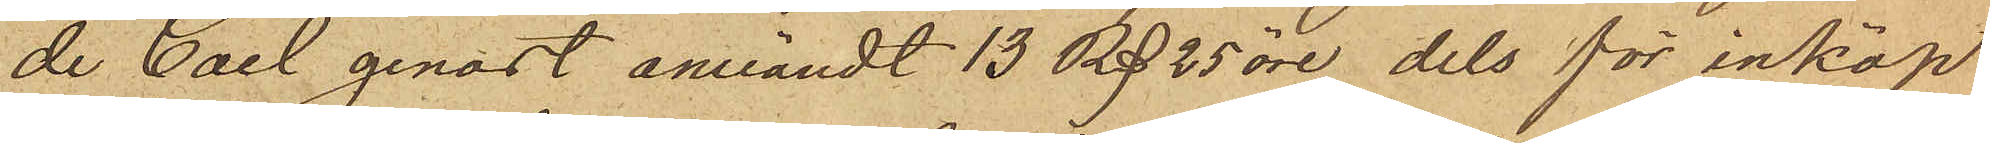de Carl genast användt 13 Rd 25 öre dels för inköp
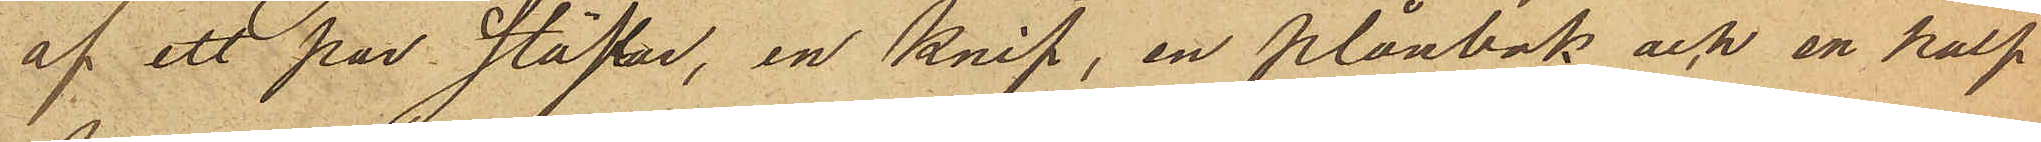af ett par Stöflar, en Knif, en Plånbok och en half
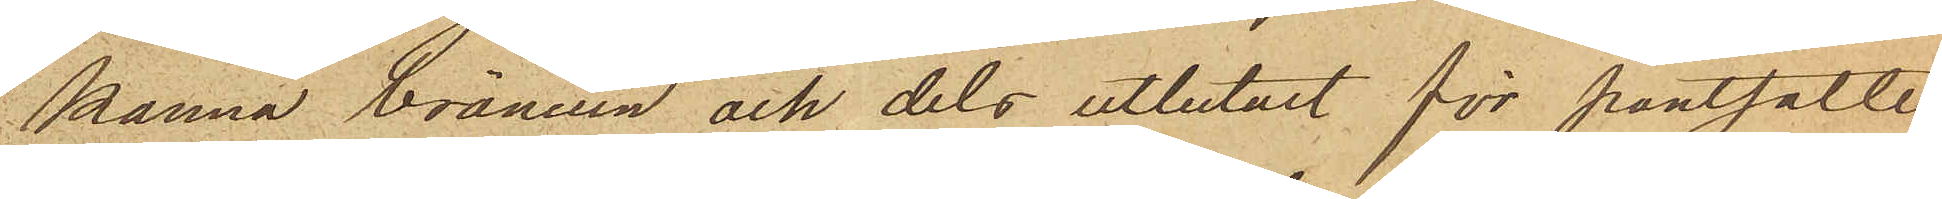Kanna bränvin och dels utbetalt för pantsatte
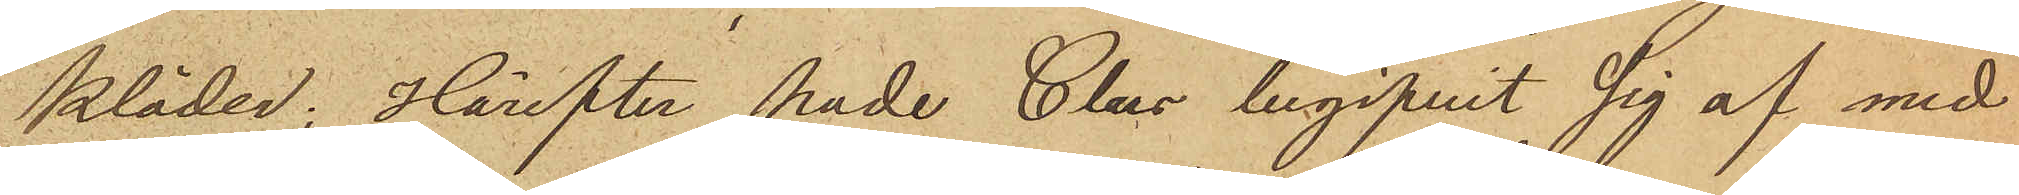Kläder; Härefter hade Claes begifvit sig af med
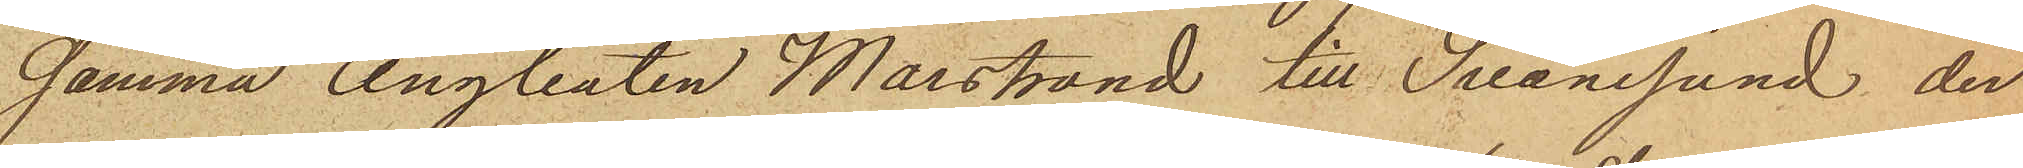samma Ångbåten Marstrand till Svanesund, der
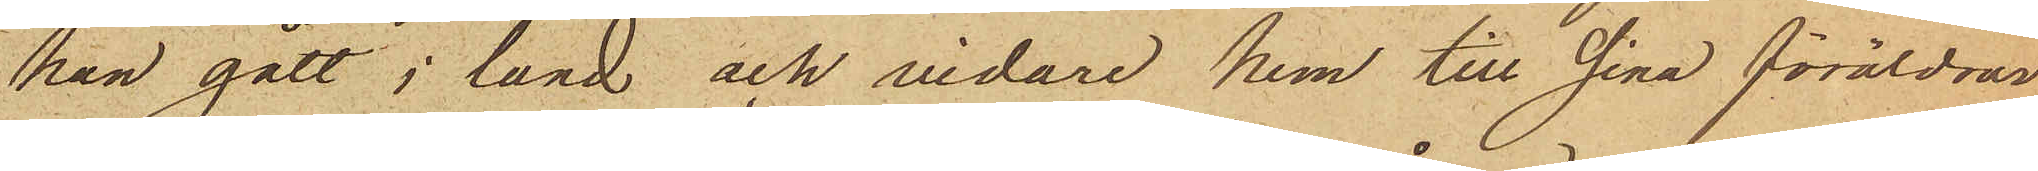han gått i land och vidare hem till sina föräldrar
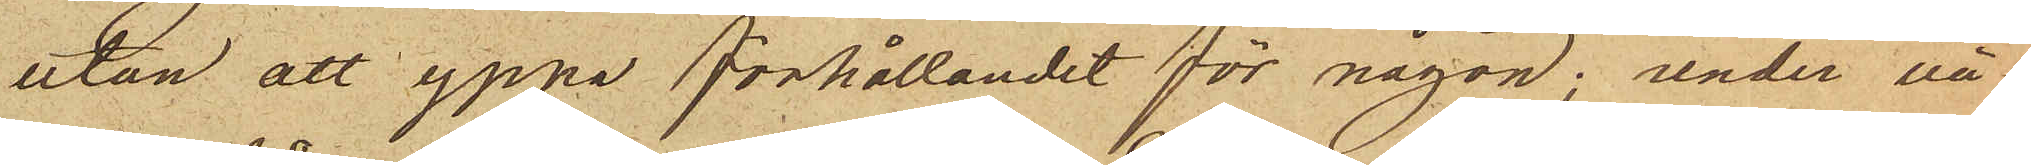utan att yppa förhållandet för någon; under vä¬
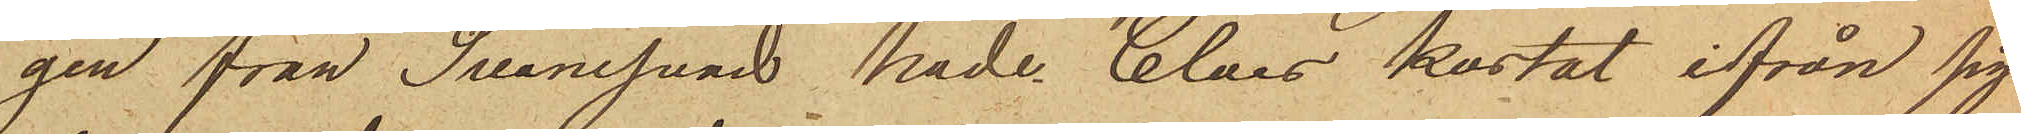gen från Svanesund hade Claes kastat ifrån sig
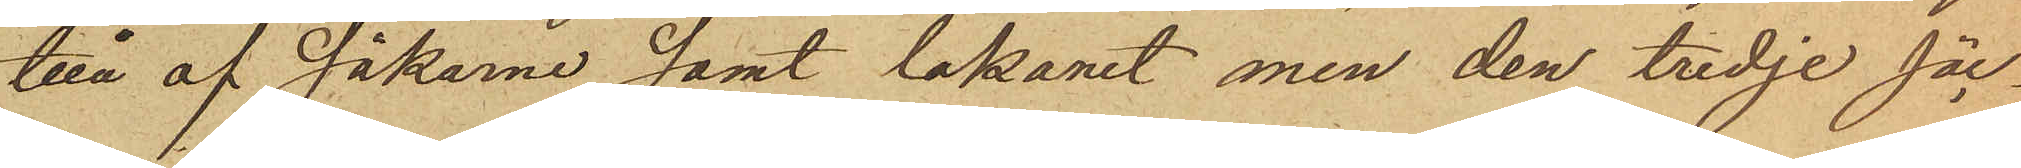två af säckarne samt lakanet men den tredje säc¬
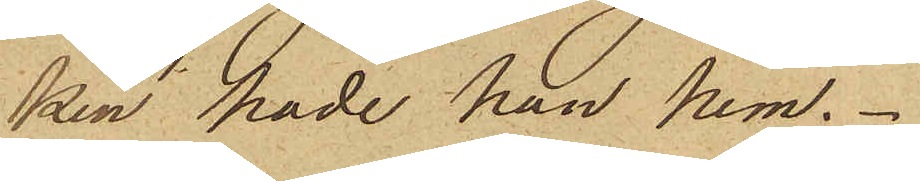ken hade han hem.
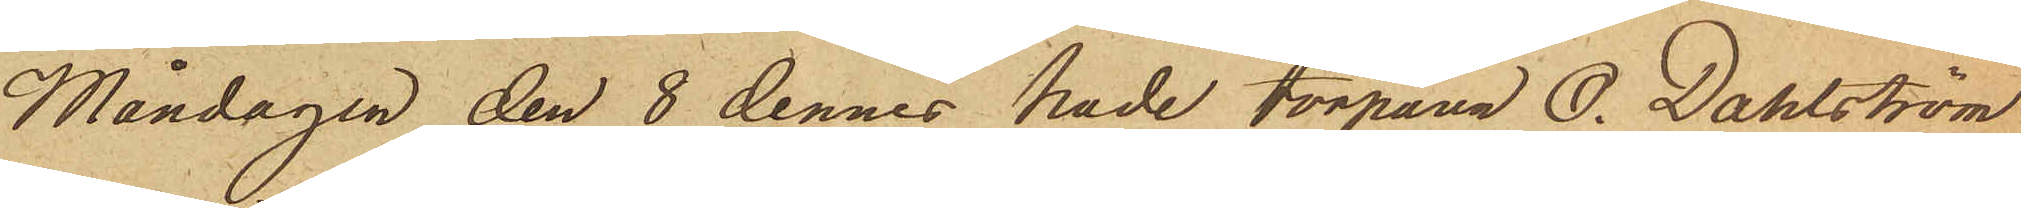Måndagen den 8 dennes hade torparen O. Dahlström
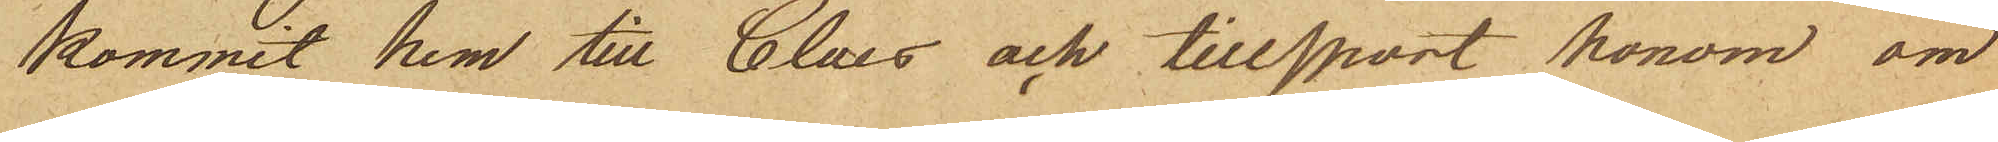kommit hem till Claes och tillsport honom om
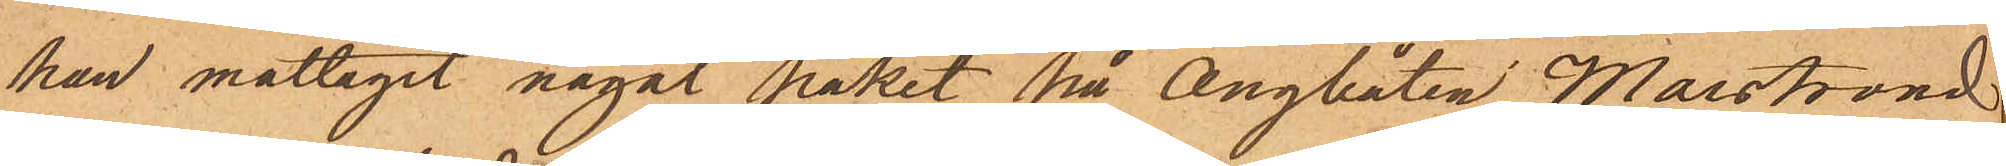han mottagit något paket på ångbåten Marstrand
